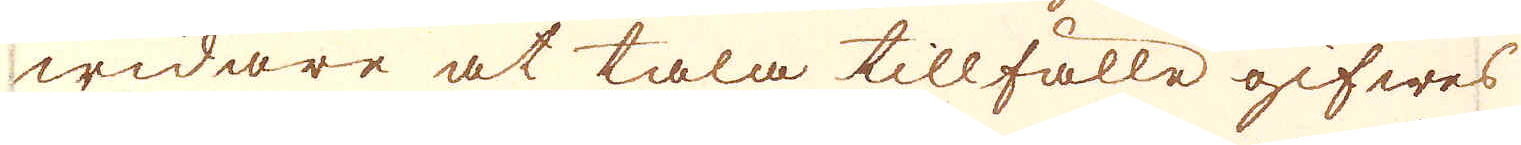widare at tala tillfälle gifwes
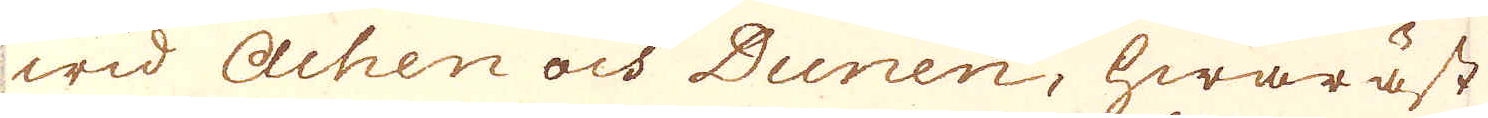wid Achen och Dunen, hwaräst
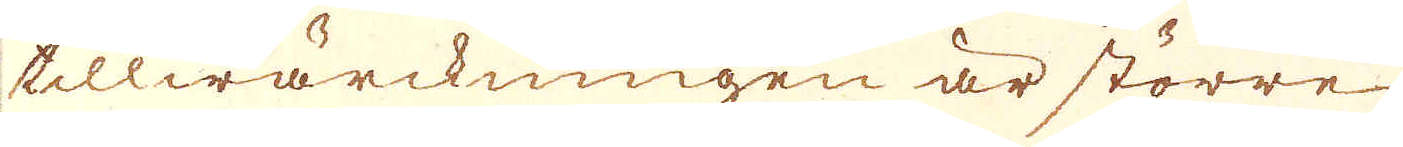tillwärckningen är större
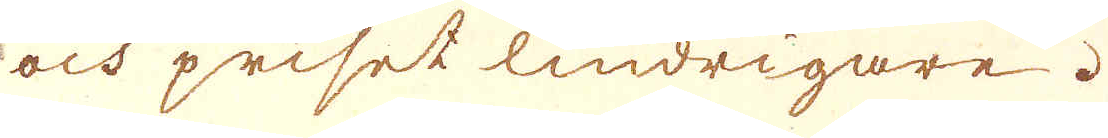och priset lindrigare.
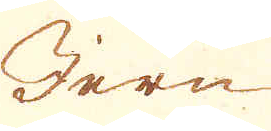Jern
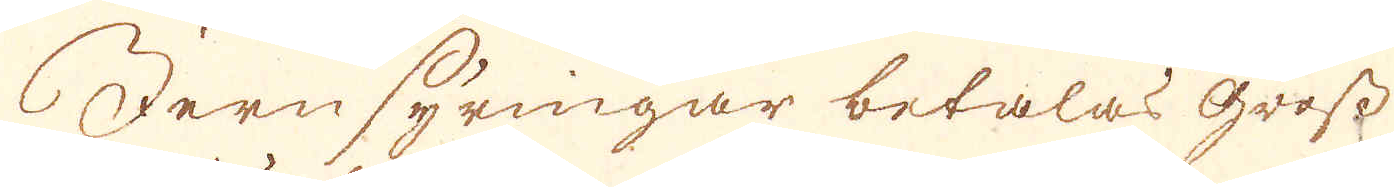Jern syringar betalas gross
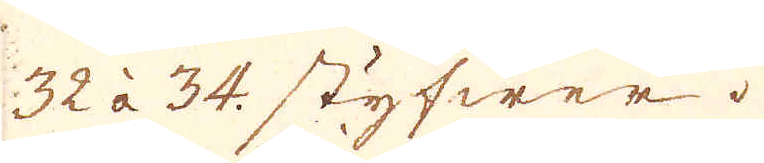32 à 34. styfwer.
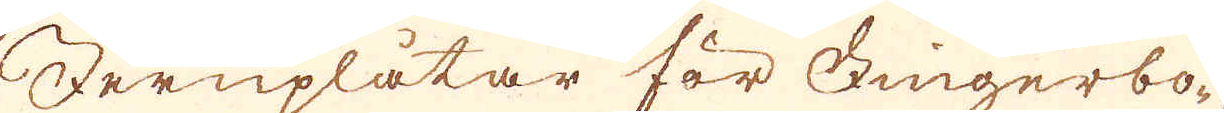Jernplåtar för Fingerbo-
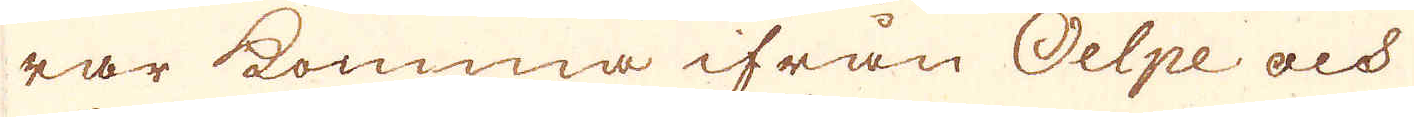rar komma ifrån Oelpe och
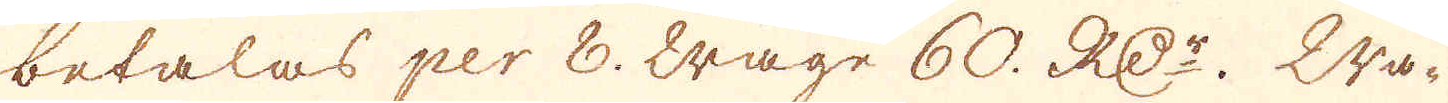betalas per 8. wage 60. RD:r. wa-
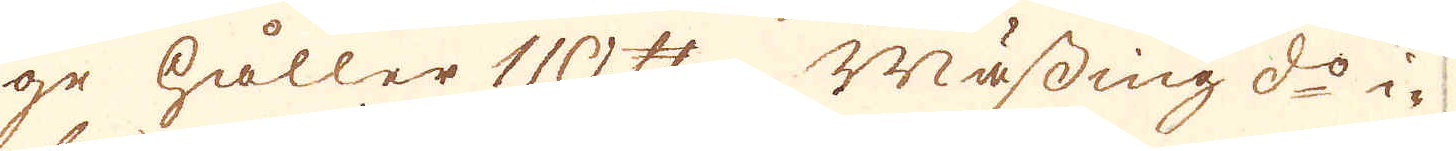ge håller 110. skålpund. Mässing d:o i-
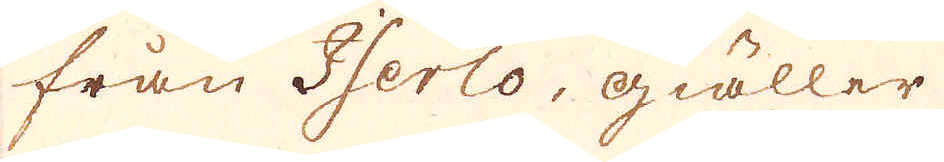från Iserlo, giäller...
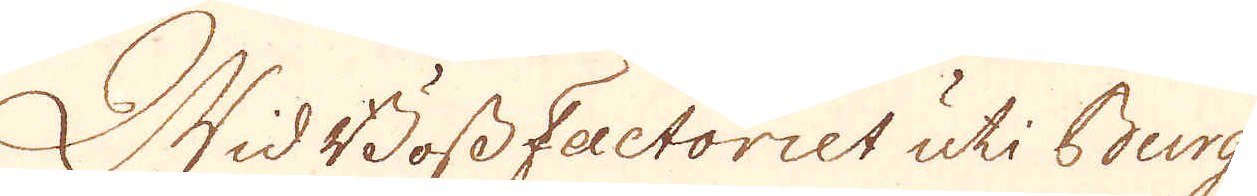Wid Böss Factoriet uti Burg
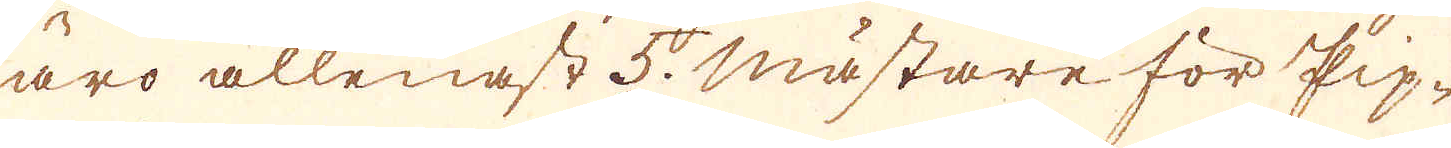äro allenast 5. mästare för Pip-
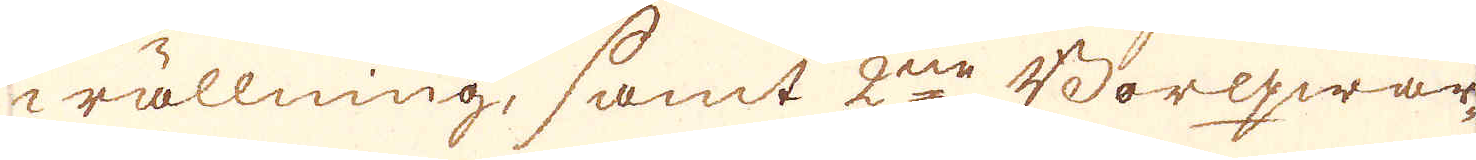wällning, samt 2ne Borqwar-
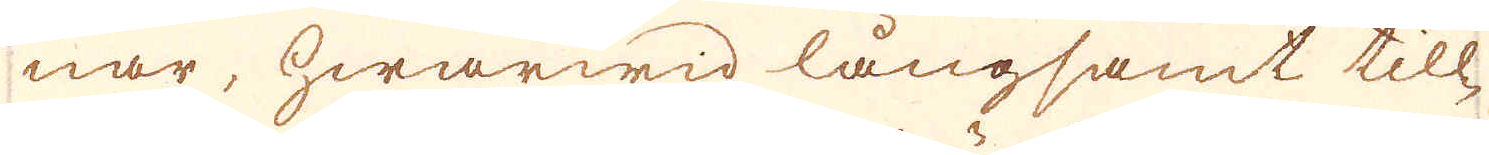nar, hwarwid långsamt till-
